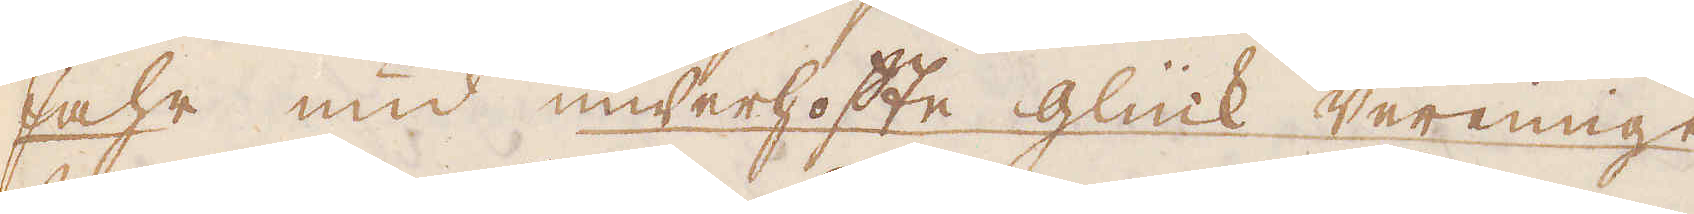Zahr und underhoffe glück vereinigt
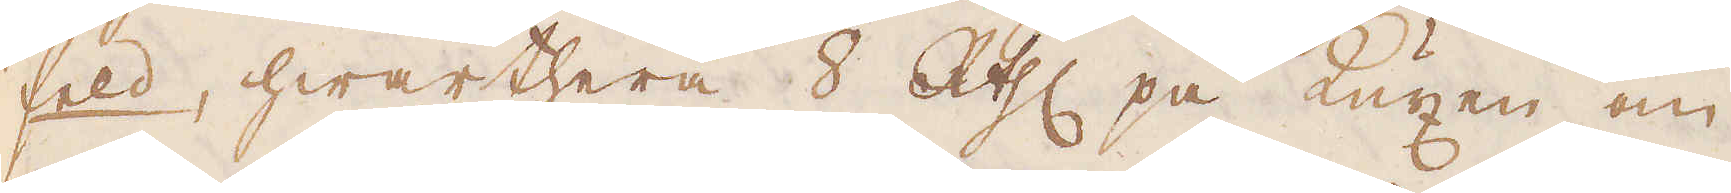feld, hwarthera 8 R:thlr på Kuxen om
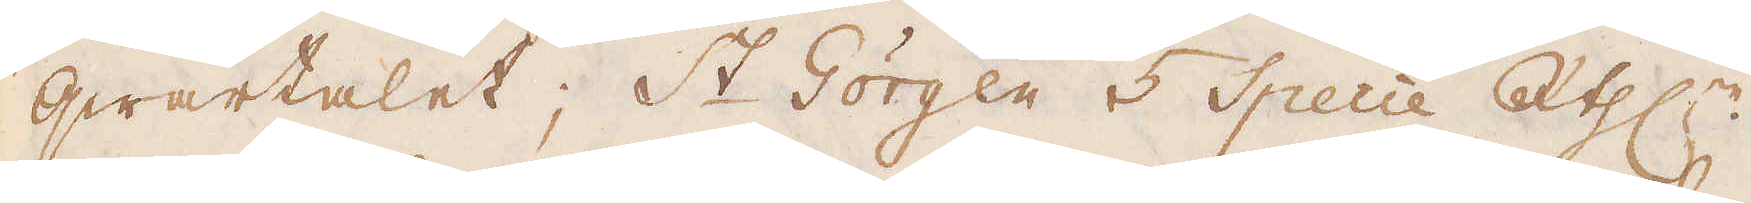qwartalet; St Görgen 5 Specie R:thlr.
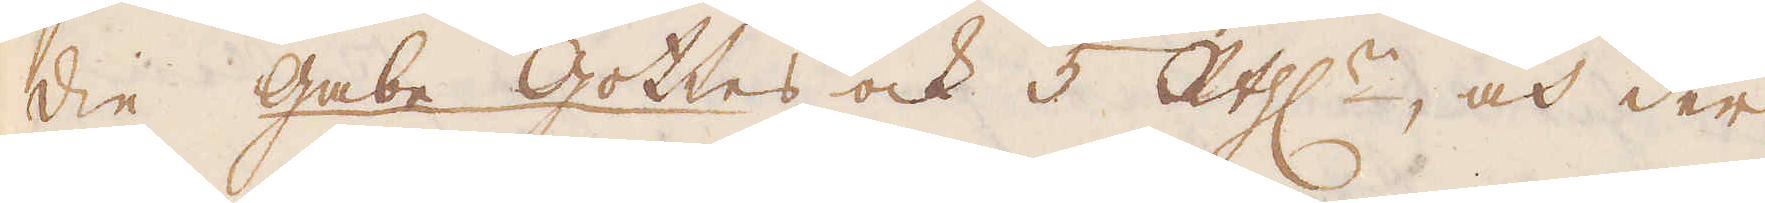Die Gabe Gotles ock 5 R:thlr, och der
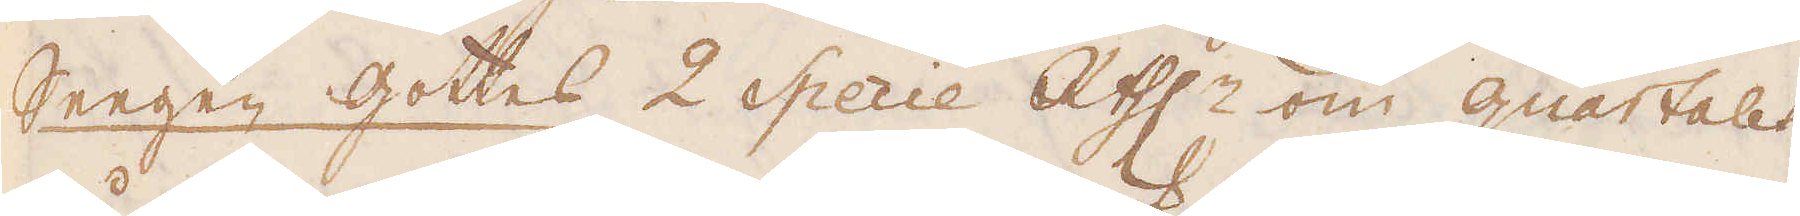Seegen gottes 2 Specie R:thlr om quartalet
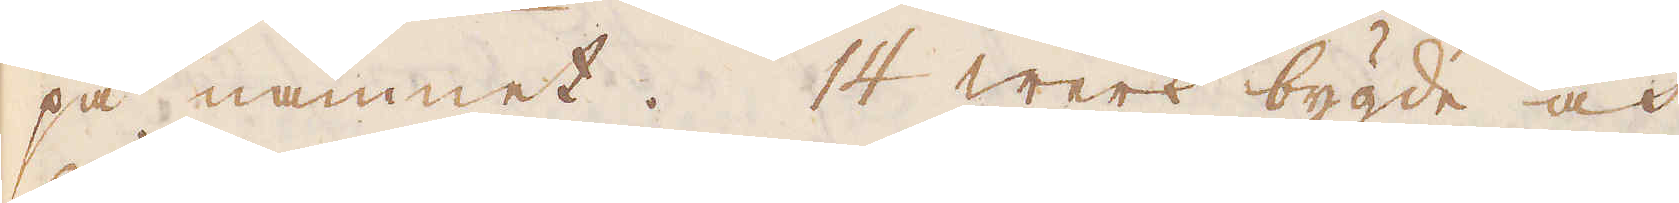på namnet. 14 werk bygde och
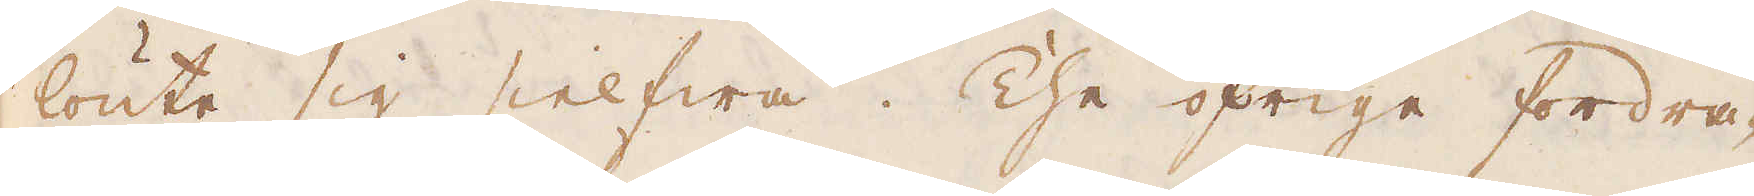lönte sig sielfwa. The öfrige fordra-
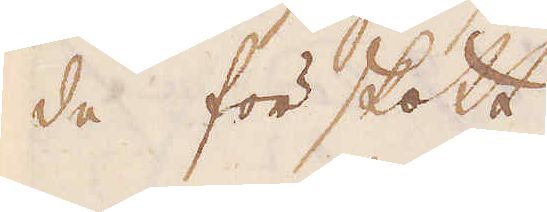de förskott.
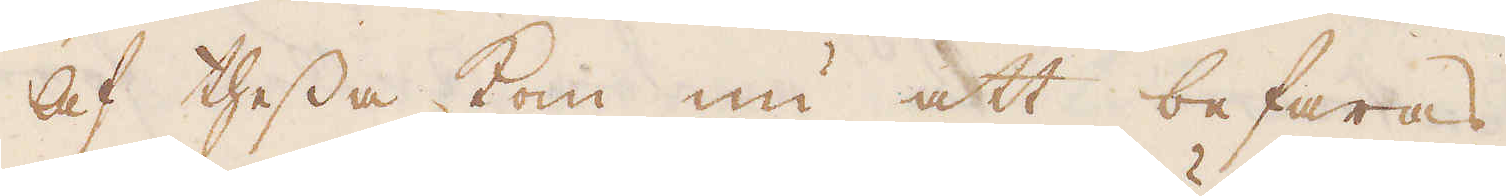Af thessa kom nu att befaras
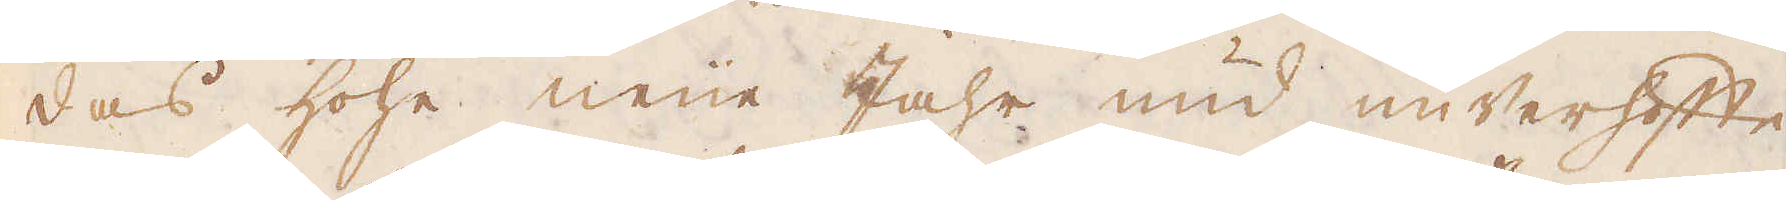das hohe neue Jahr und unverhoffe
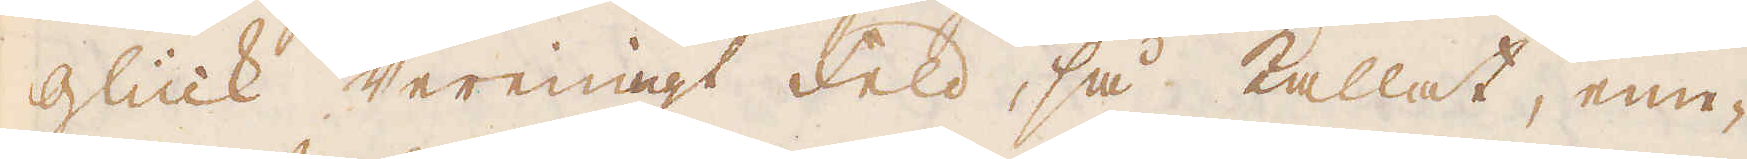glück vereinigt Feld, så kallat, eme-
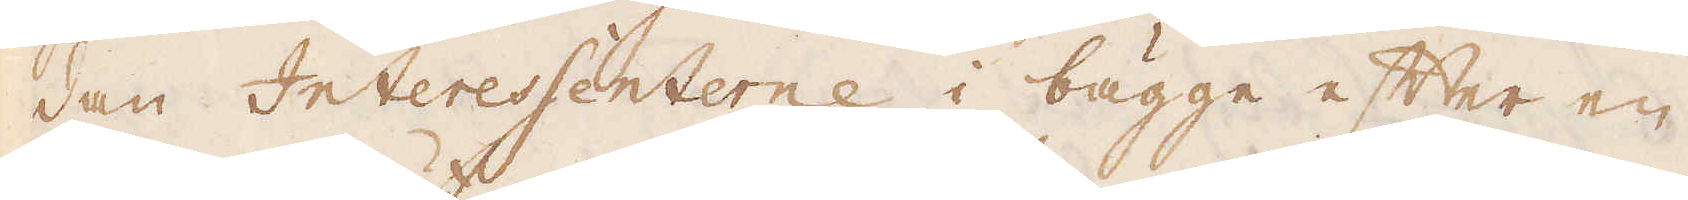dan Interessenterne i bägge efter en
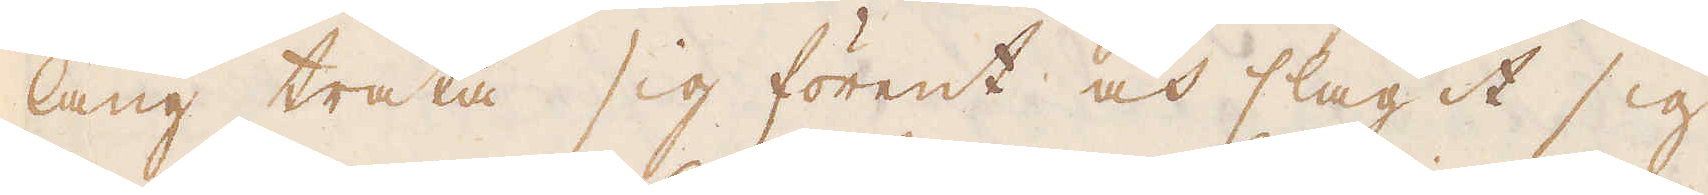lång träta sig förent och slagit sig
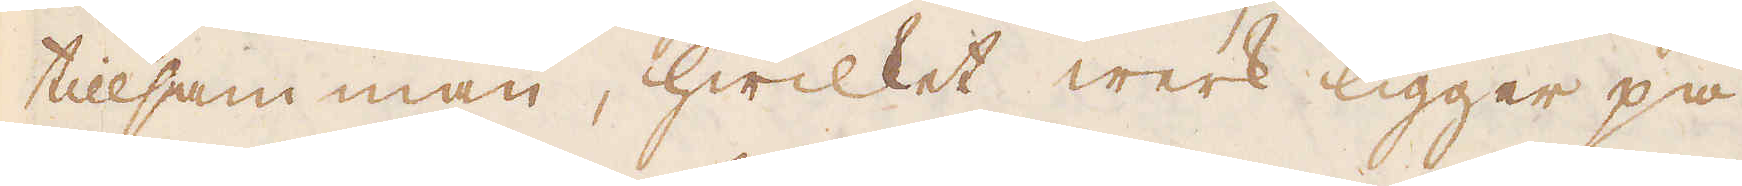tillsamman, hwilket werk ligger på
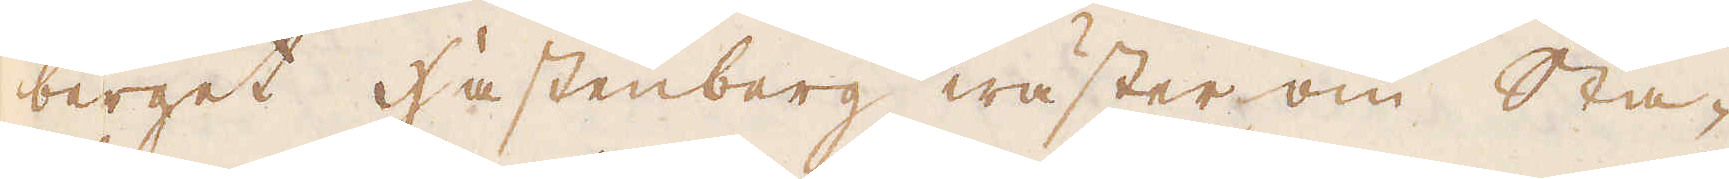berget Hastenberg wäster om Sta-
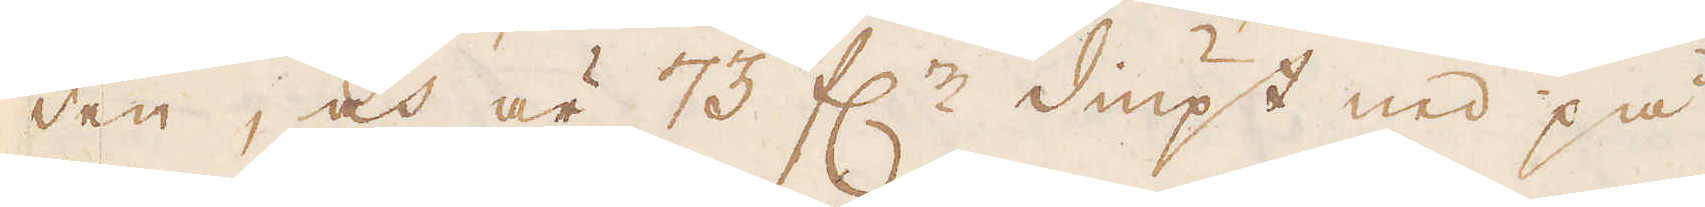den, och är 73 f:r diupt ned på
